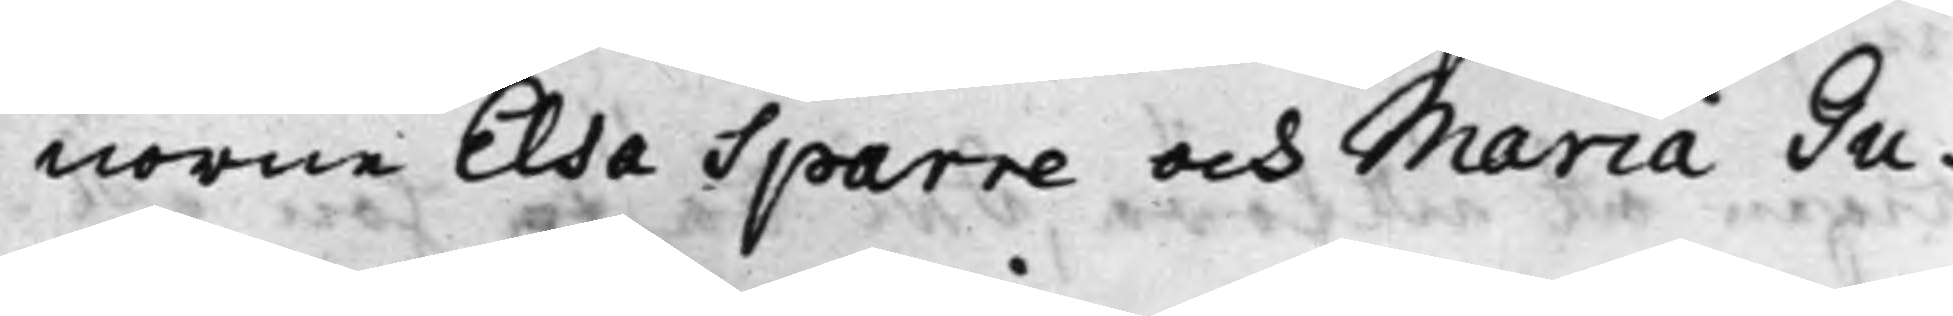norne Elsa Sparre och Maria Gu¬
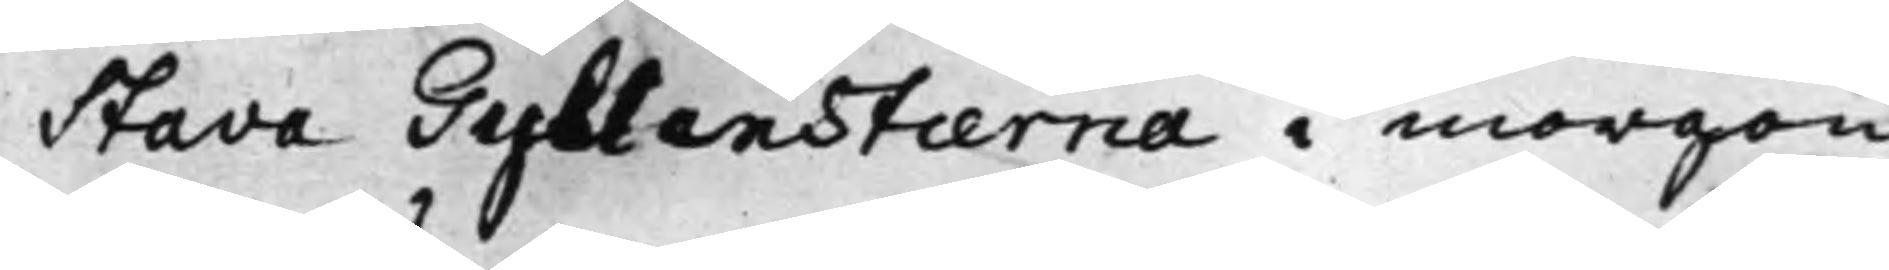stava Gyllenstierna i morgon
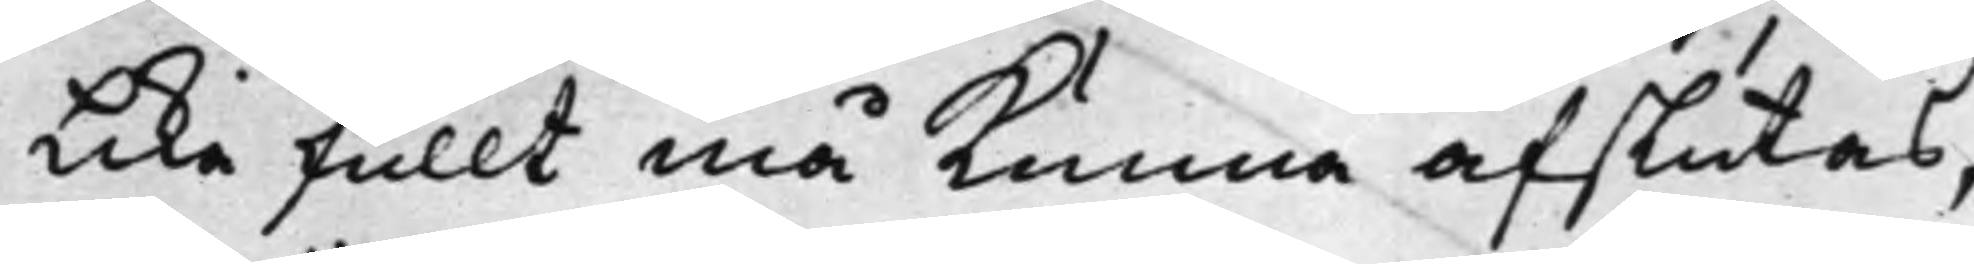lika fullt må kunna afslutas;
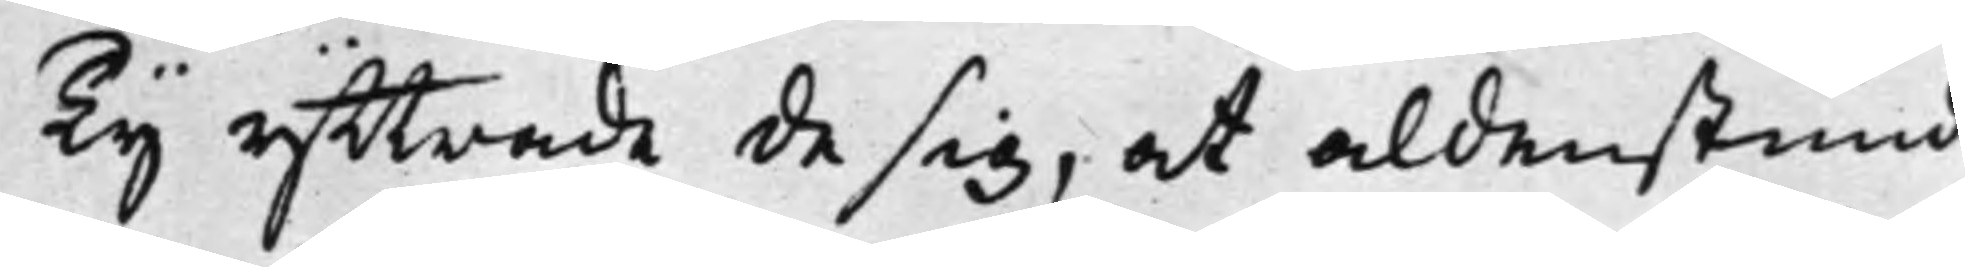Ty yttrade de sig, at aldenstund
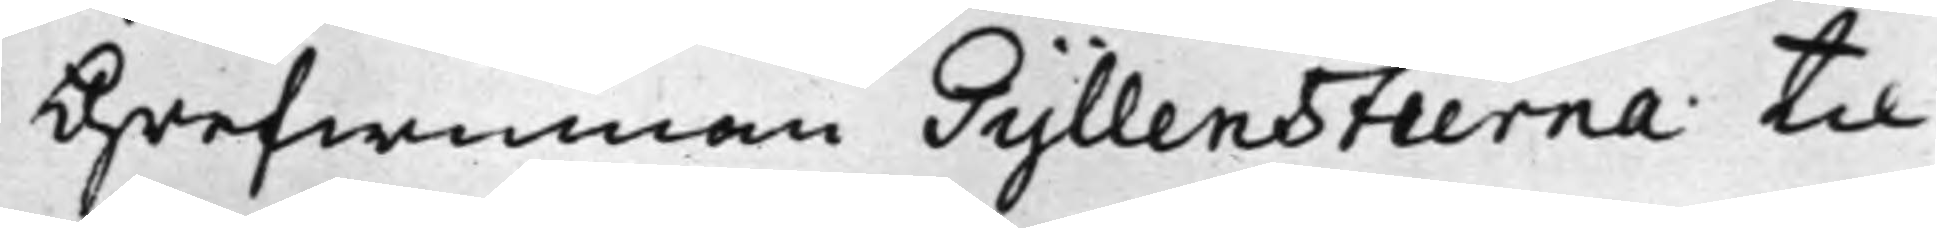Grefwinnan Gyllenstierna til
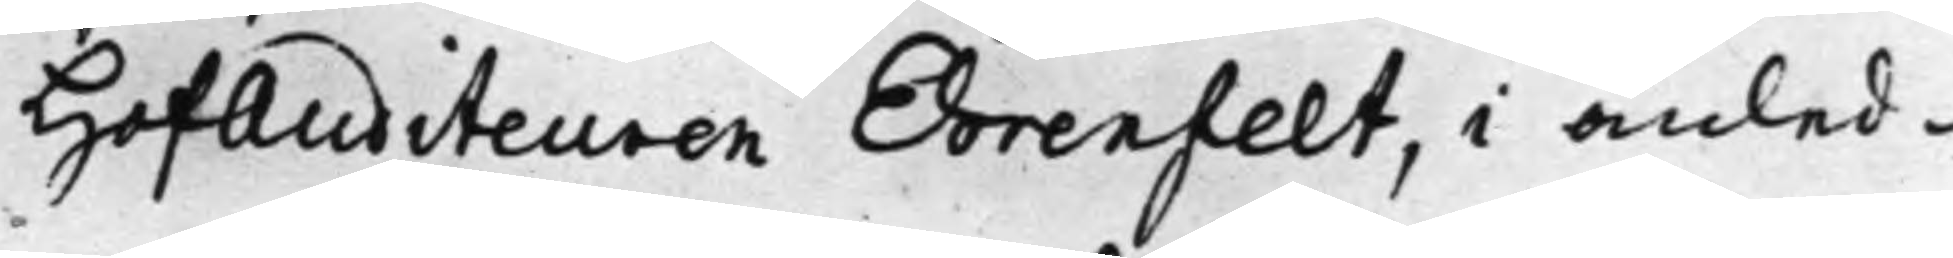HofAuditeuren Ehrenfelt, i anled¬
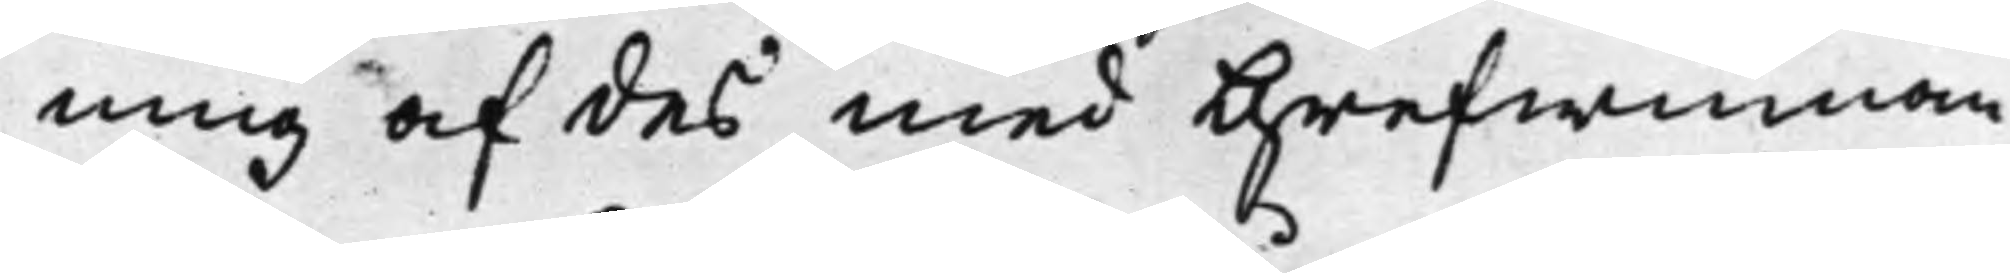ning af des med Grefwinnan
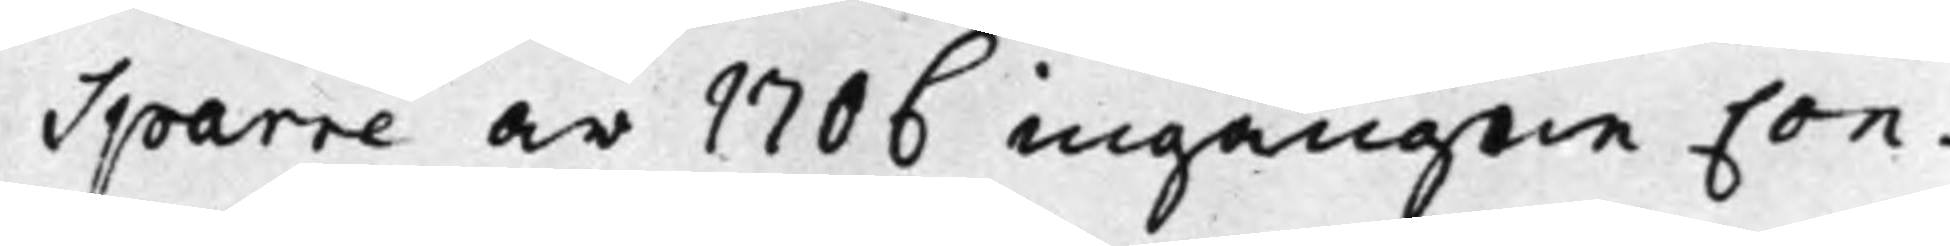Sparre år 1706 ingångne Con¬
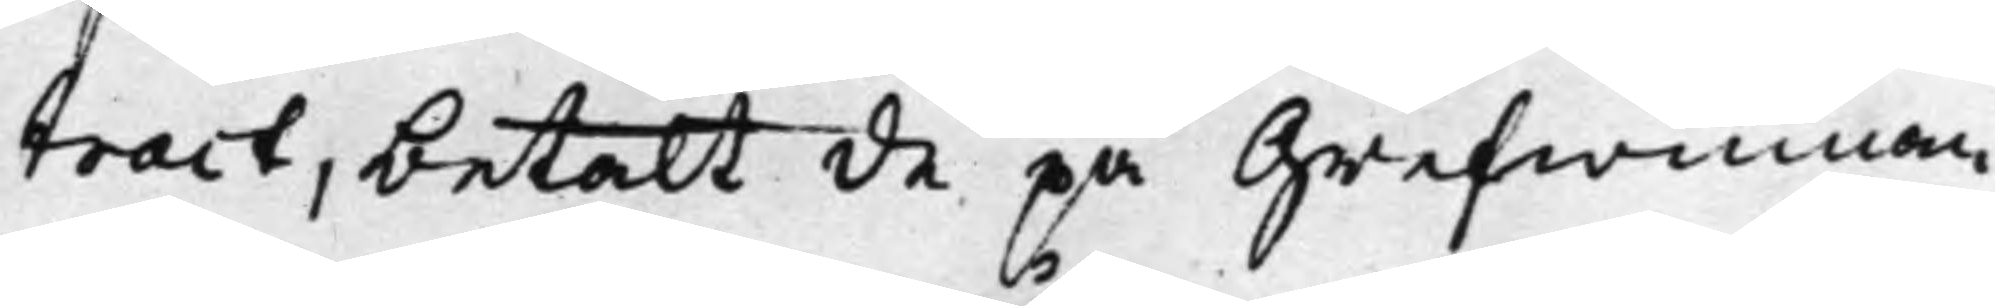tract, betalt de på Grefwinnan
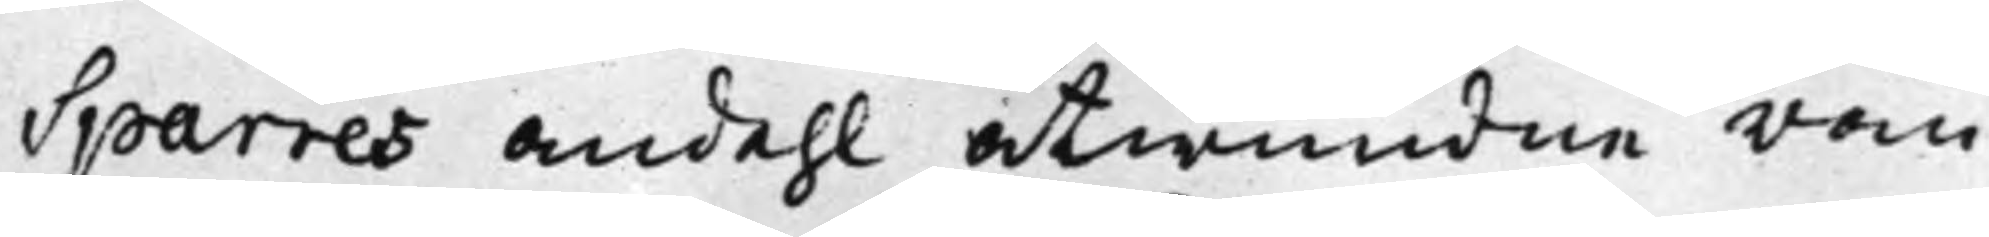Sparres andehl åtwundne rän¬
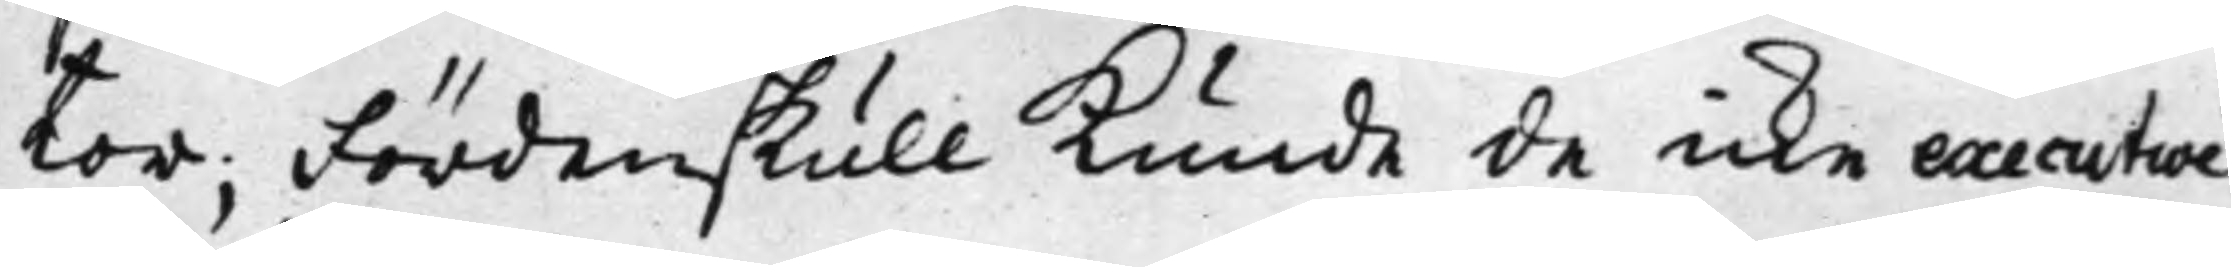tor; Fördenskull kunde de icke executori
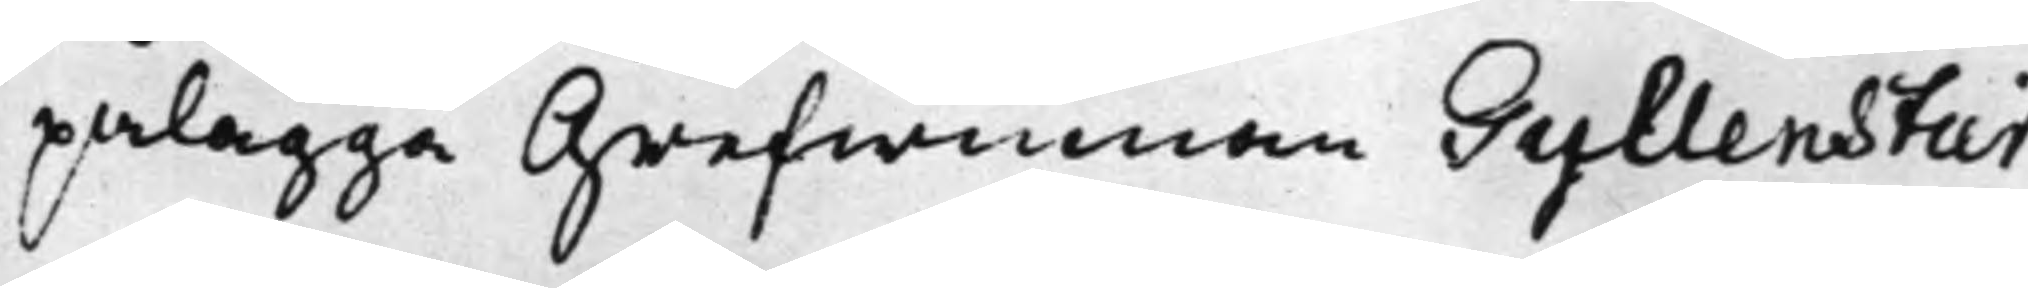pålägga Grefwinnan Gyllenstier¬
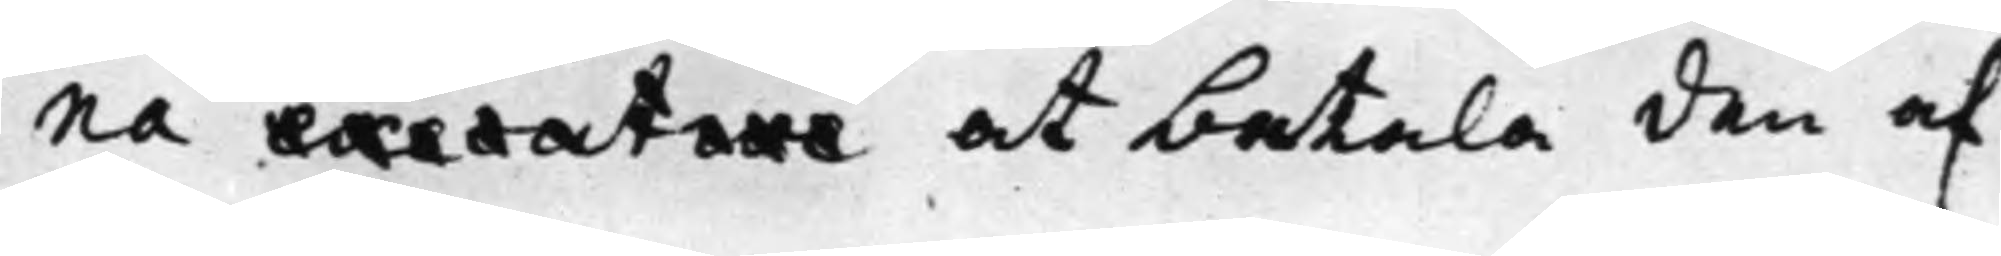na executori at betala den af
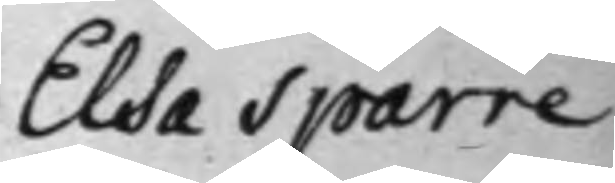Elsa Sparre
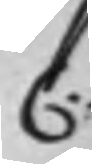C:
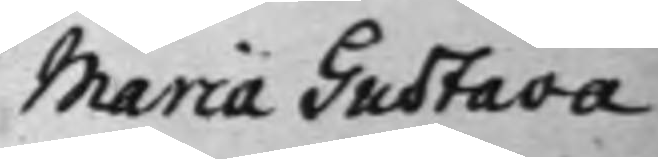Maria Gustava
